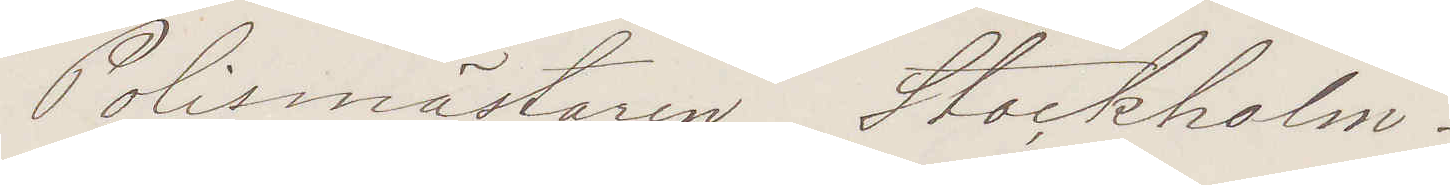Polismästaren Stockholm.
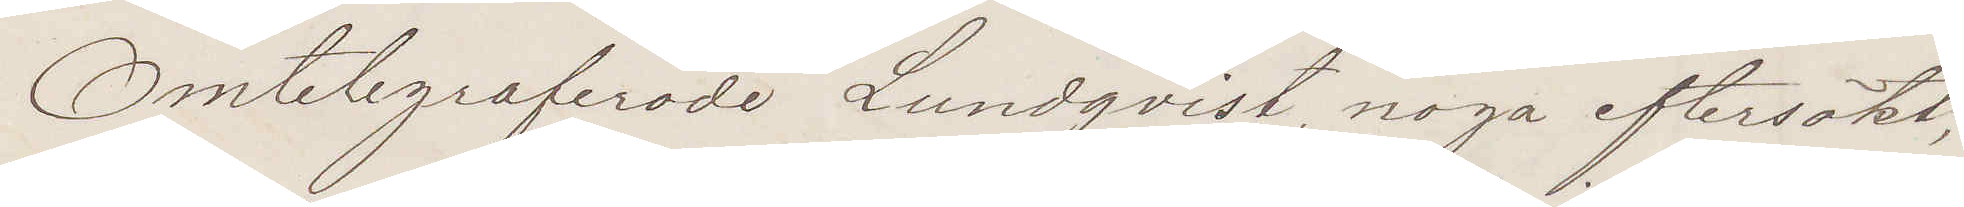Omtelegraferade Lundqvist noga eftersökt,
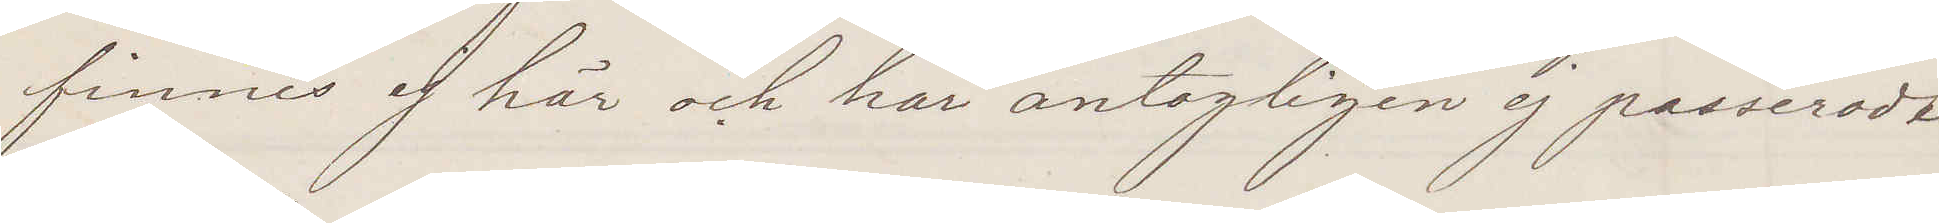finnes ej här och har antagligen ej passeradt
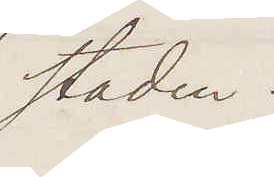staden.
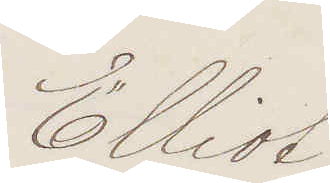Elliot
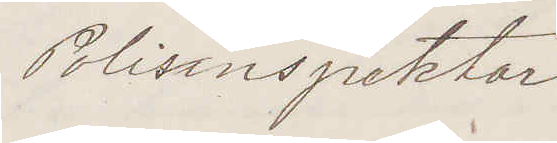Polisinspektor
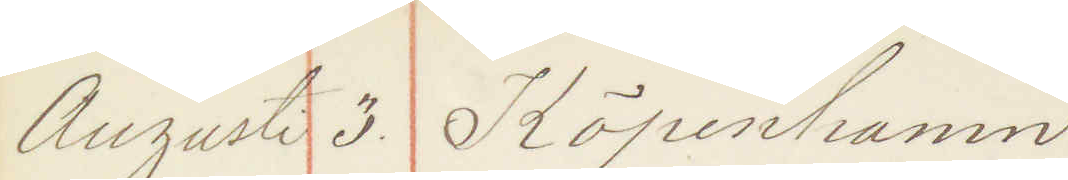Augusti 3 Köpenhamn.
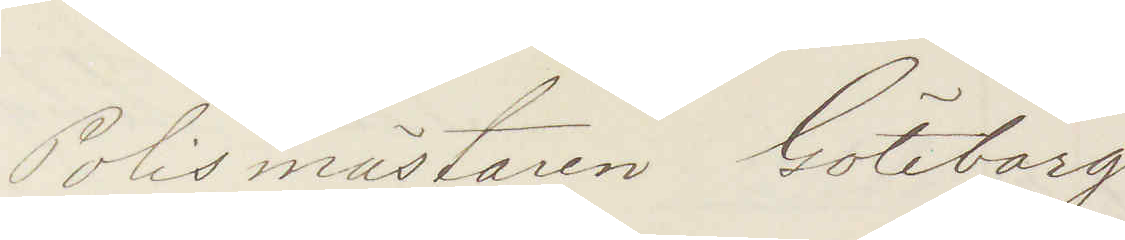Polismästaren Göteborg
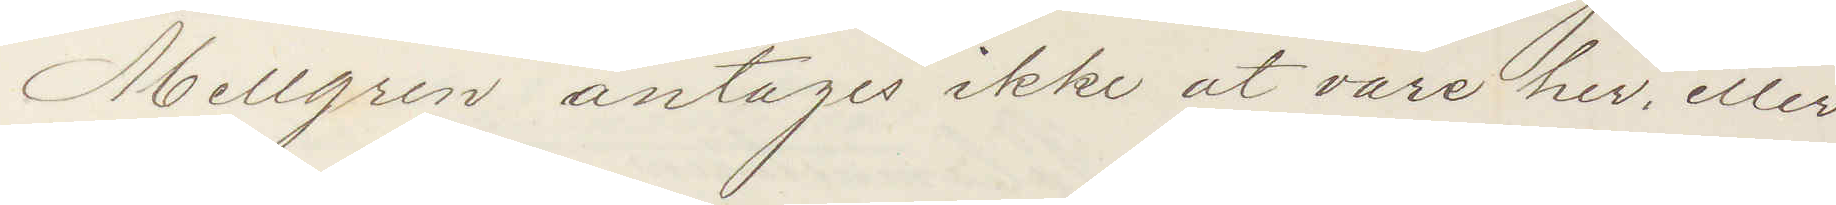Mellgren antages ikke at vare her eller
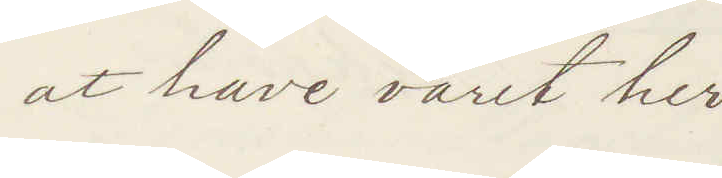at have varit her
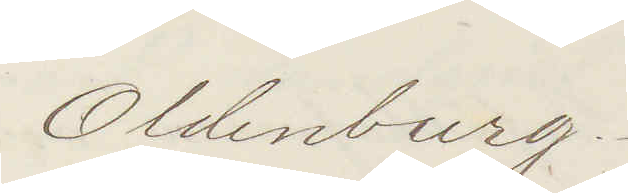Oldenburg
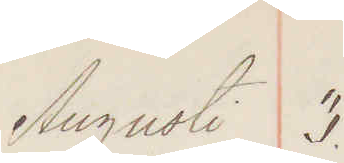Augusti 3.
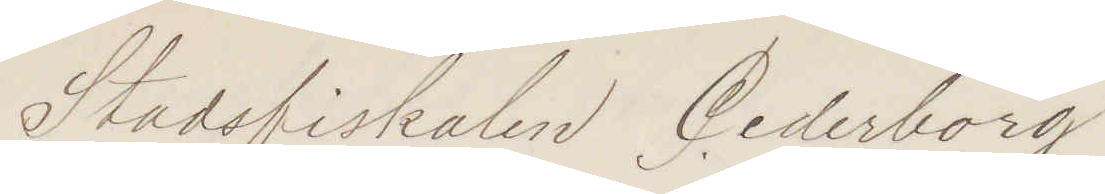Stadsfiskalen Cederborg
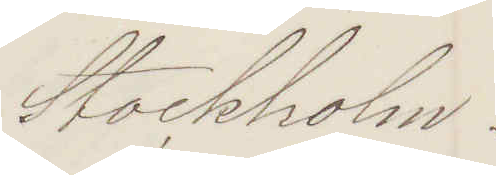Stockholm.
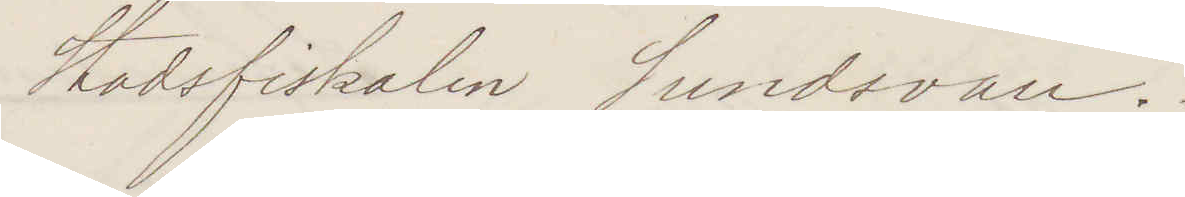Stadsfiskalen Sundsvall.
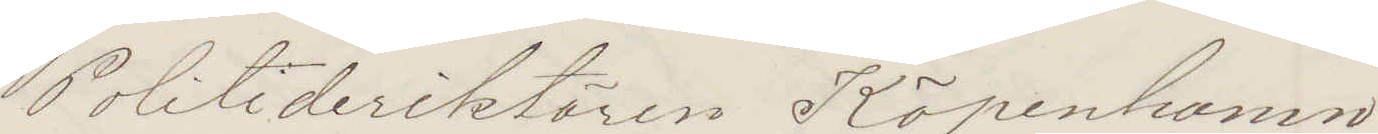Politidirektören Köpenhamn.
